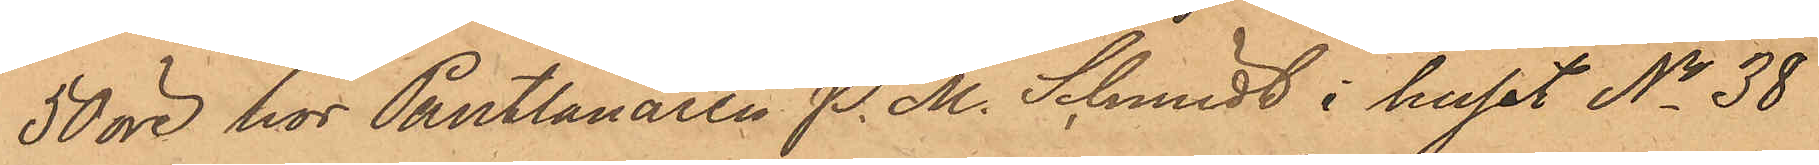50 öre hos Pantlånaren P. M. Schmidt i huset No 38
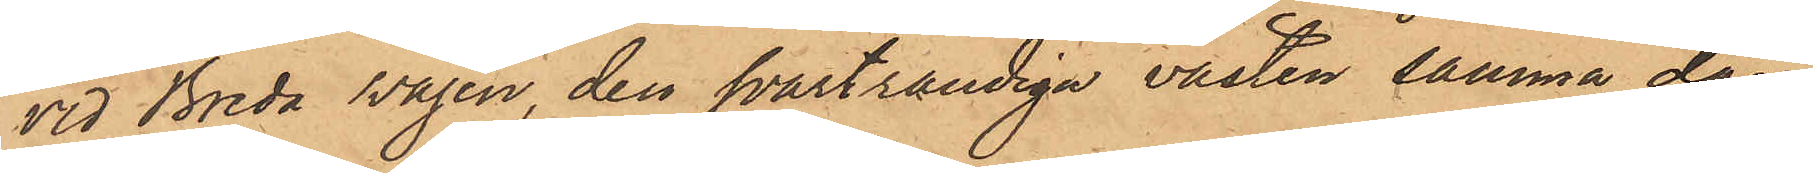vid Breda svägen, den svartrandiga västen samma dag
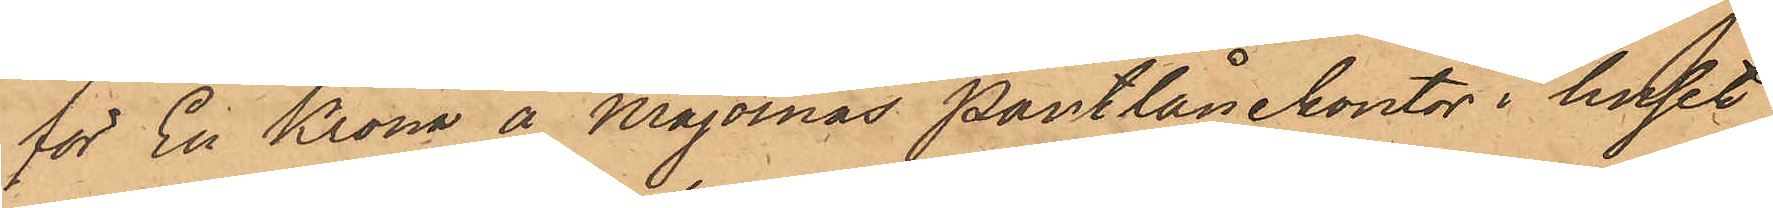för En Krona å Majornas Pantlånekontor i huset
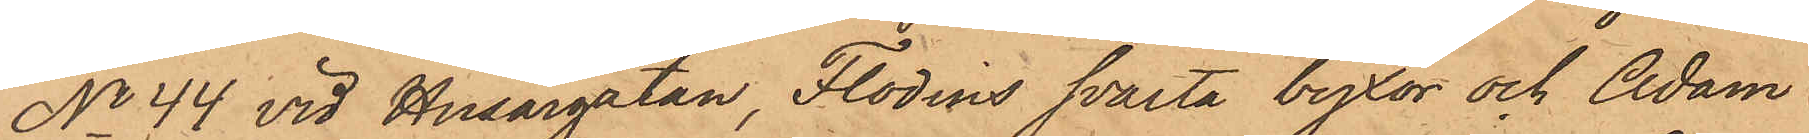No 44 vid Husargatan, Flodins svarta byxor och Adam
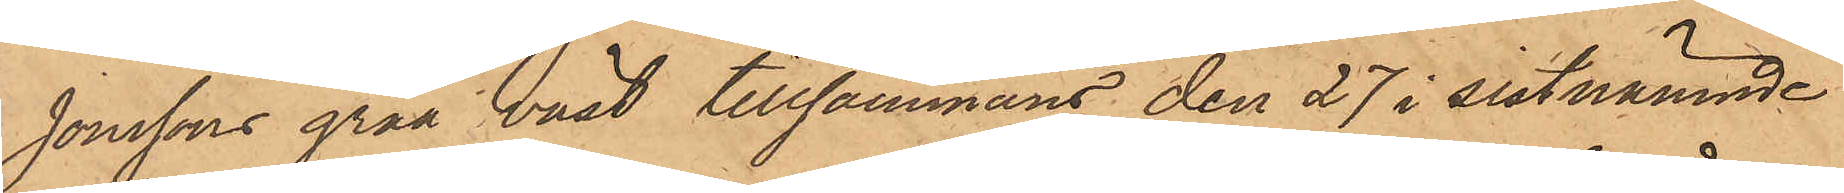Jonssons gråa väst tillsammans den 27 i sistnämnde
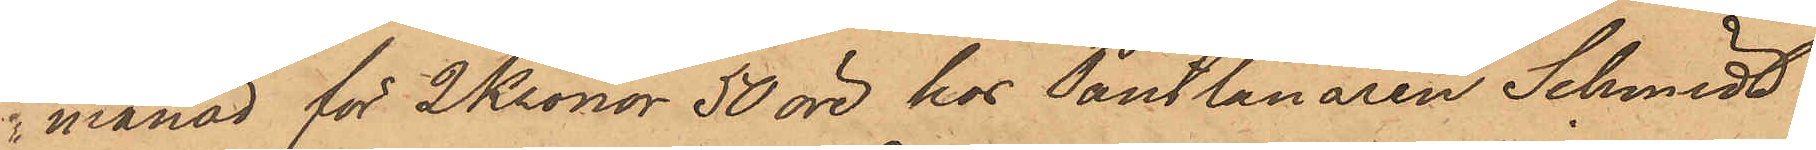i månad för 2 Kronor 50 öre hos Pantlånaren Schmidt
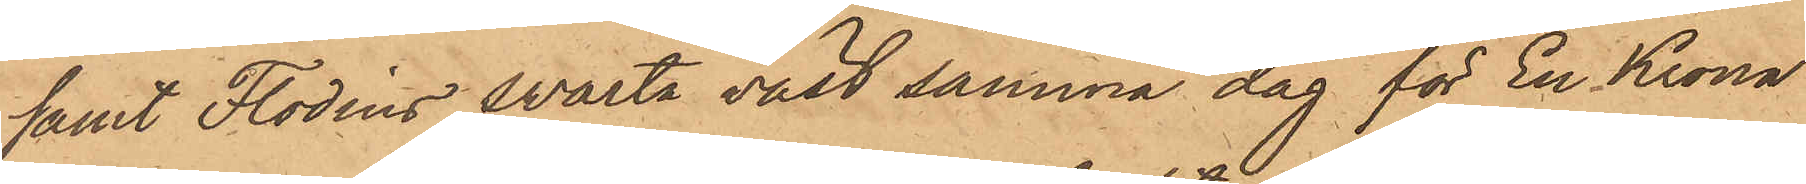samt Flodins svarta väst samma dag för En Krona
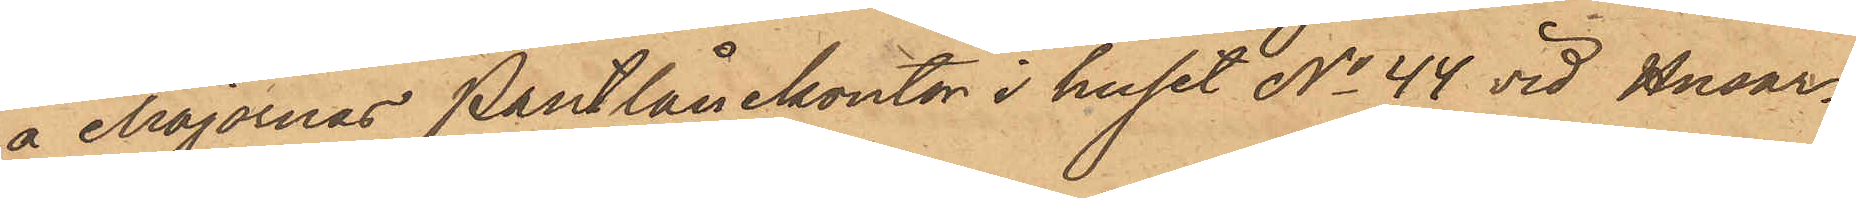å Majornas Pantlånekontor i huset No 44 vid Husar¬
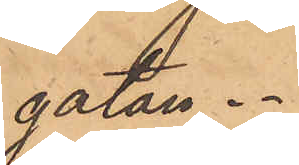gatan.
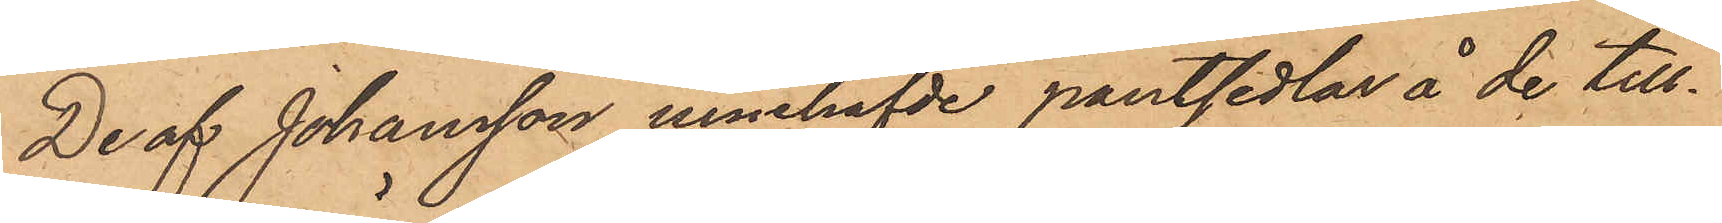De af Johansson innehafvde pantsedlar å de till¬
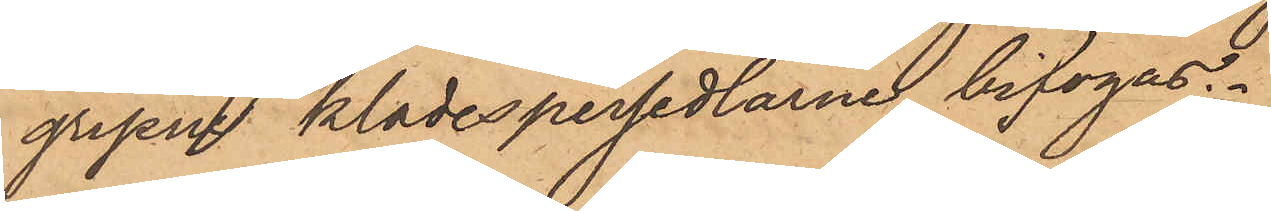gripne klädespersedlarne bifogas.
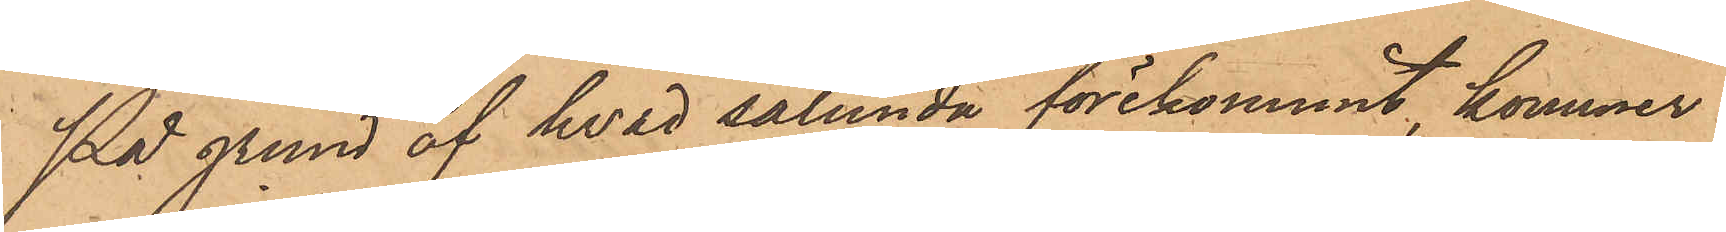På grund af hvad sålunda förekommit, kommer
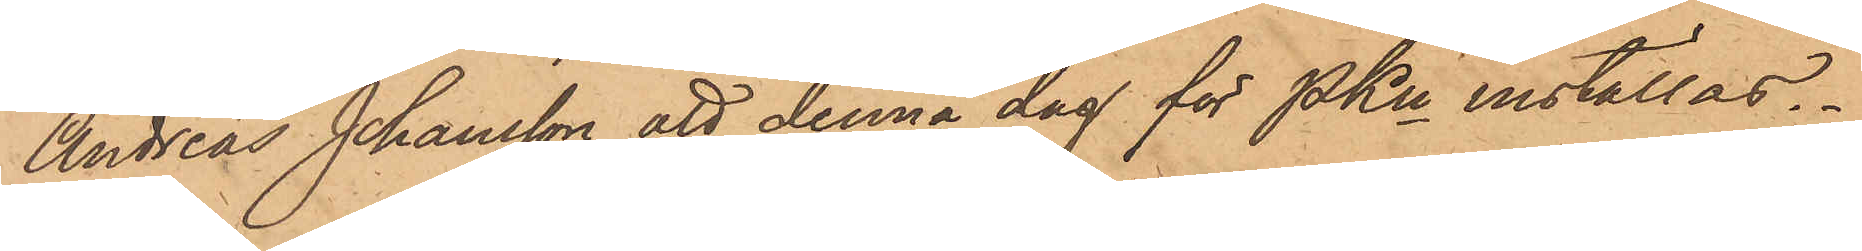Andreas Johansson att denna dag för PKn inställas.
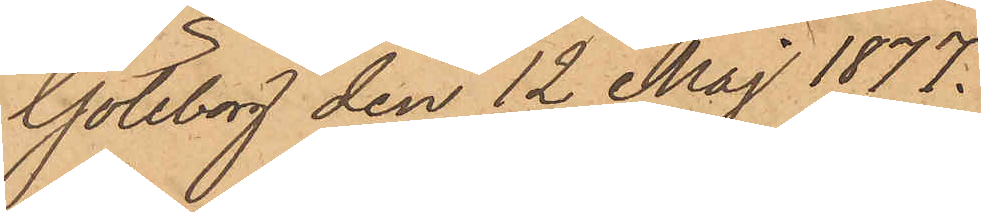Göteborg den 12 Maj 1877.
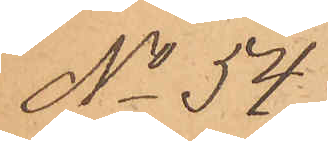No 54.
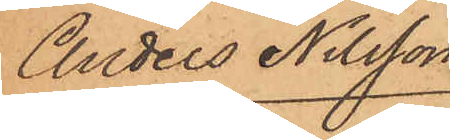Anders Nilsson
